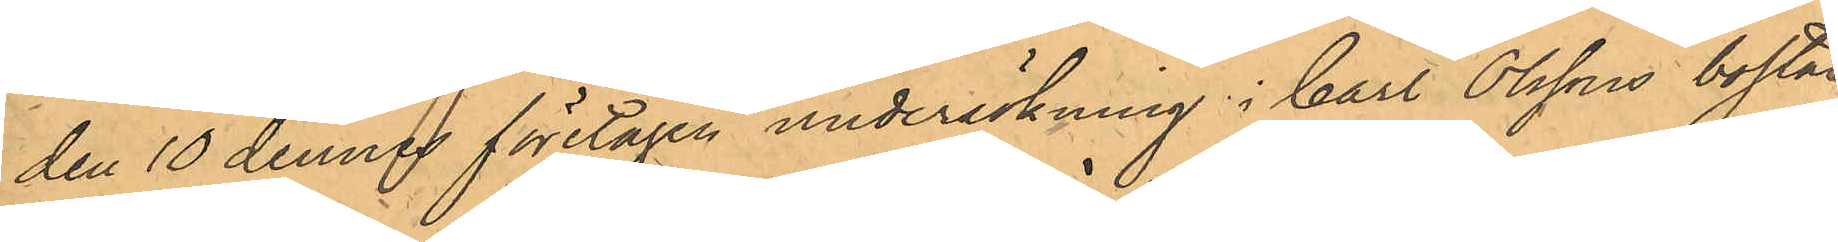den 10 dennes företagen undersökning i Carl Olssons bostad,
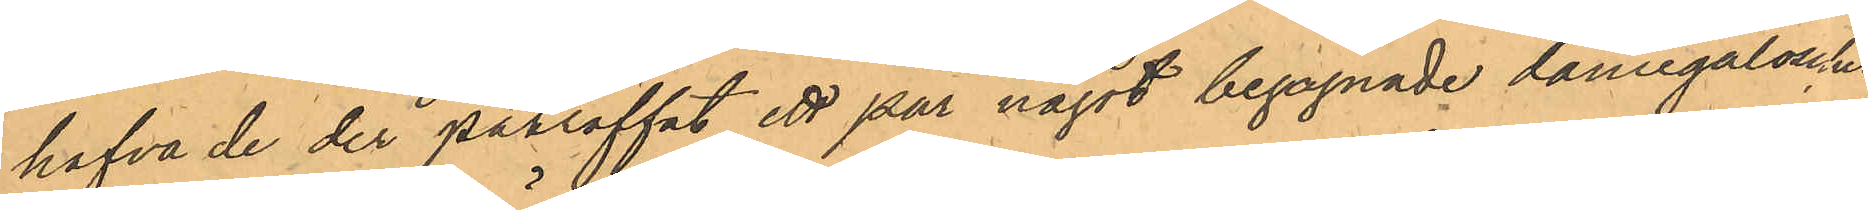hafva de der påträffat ett par något begagnade damegaloscher,
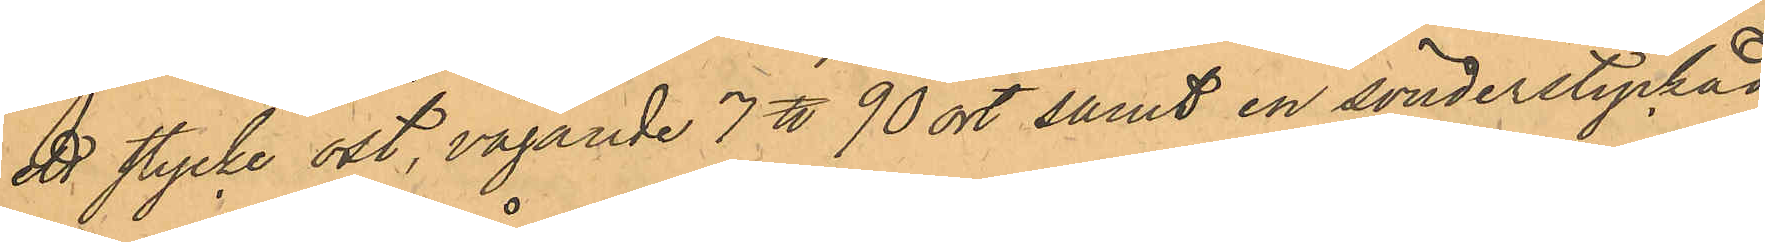ett stycke ost, vägande 7 ℔ 90 ort samt en sönderstyckad
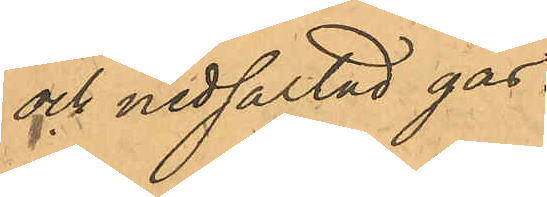och nedsaltad gås.
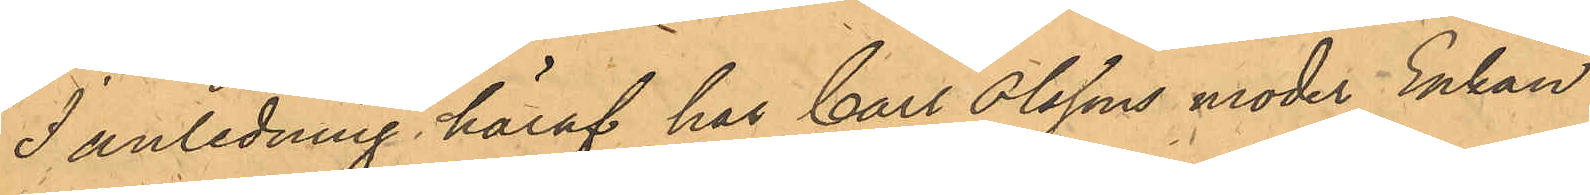I anledning häraf har Carl Olssons moder Enkan
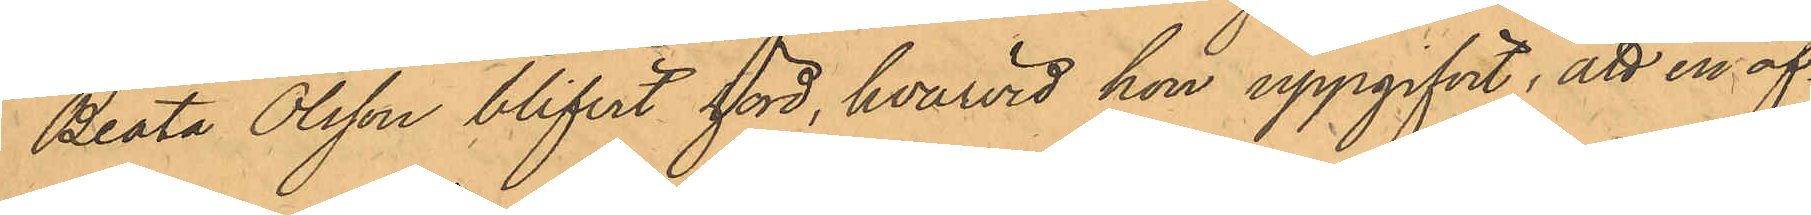Beata Olsson blifvit hörd, hvarvid hon uppgifvit, att en af¬
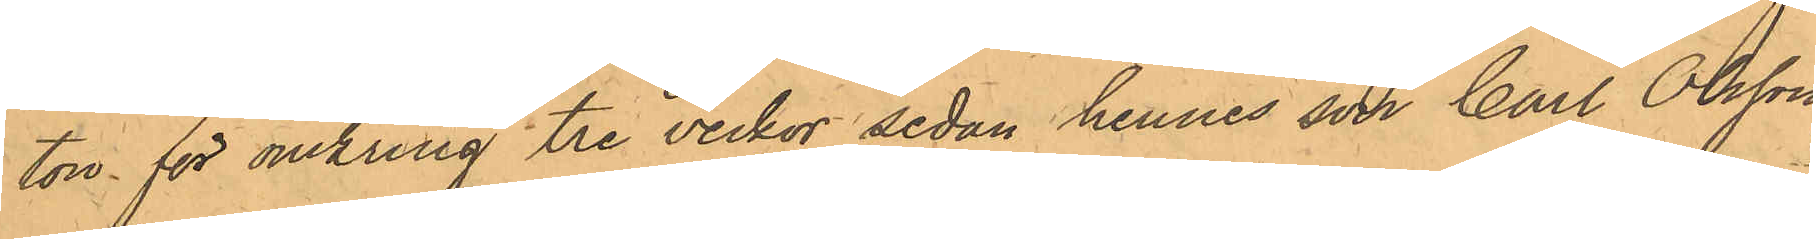ton för omkring tre veckor sedan hennes son Carl Olsson
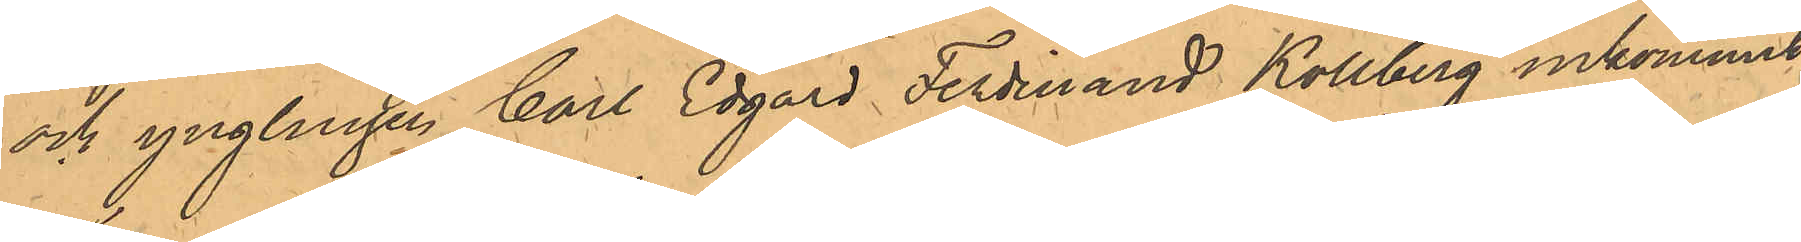och ynglingen Carl Edgard Ferdinand Kollberg inkommit
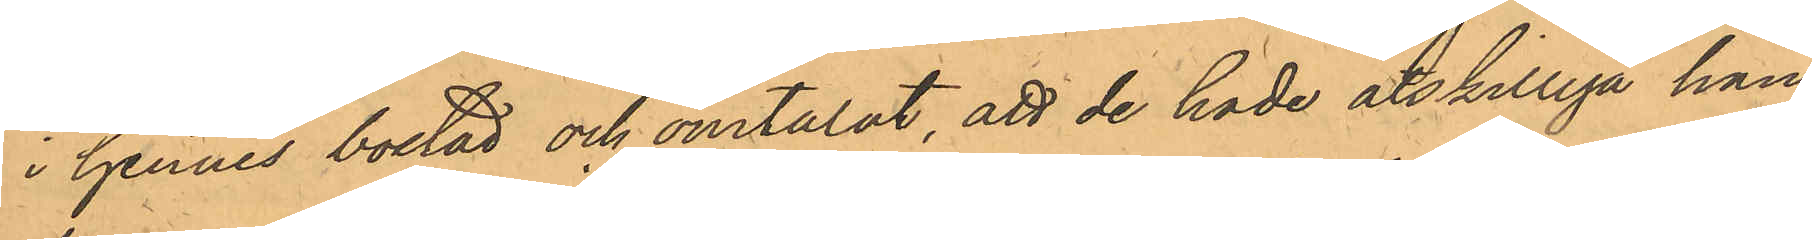i hennes bostad och omtalat, att de hade åtskilliga han¬
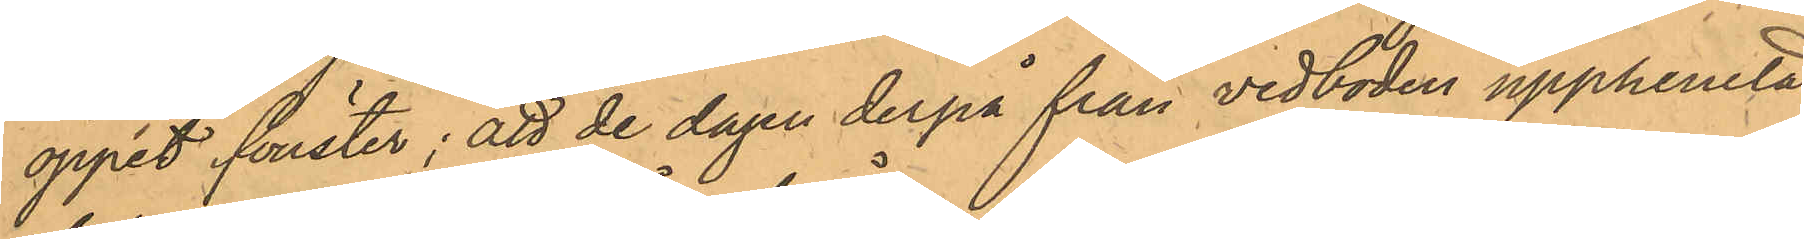öppet fönster; att de dagen derpå från vedboden upphemtat
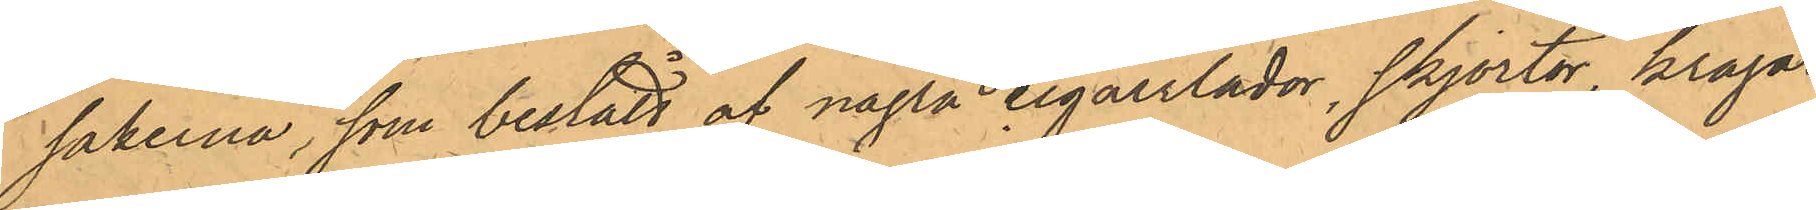sakerna, som bestått af några cigarrlådor, skjortor, kragar,
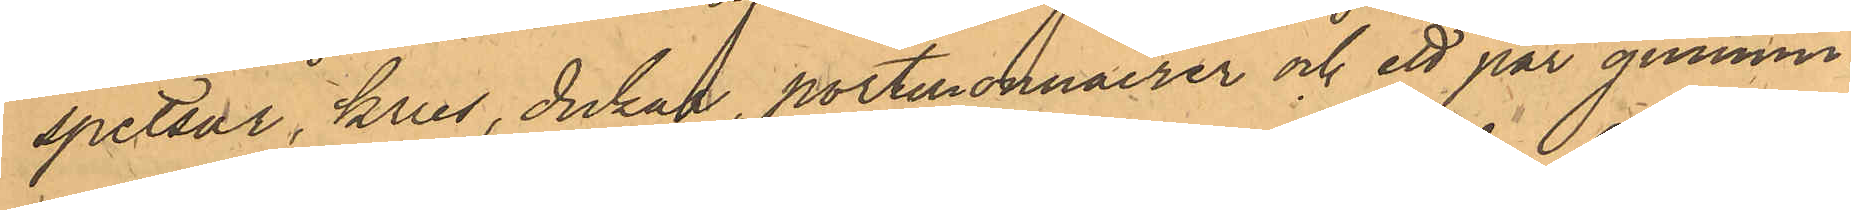spetsar, krus, dukar, portmonnaier och ett par gummi¬
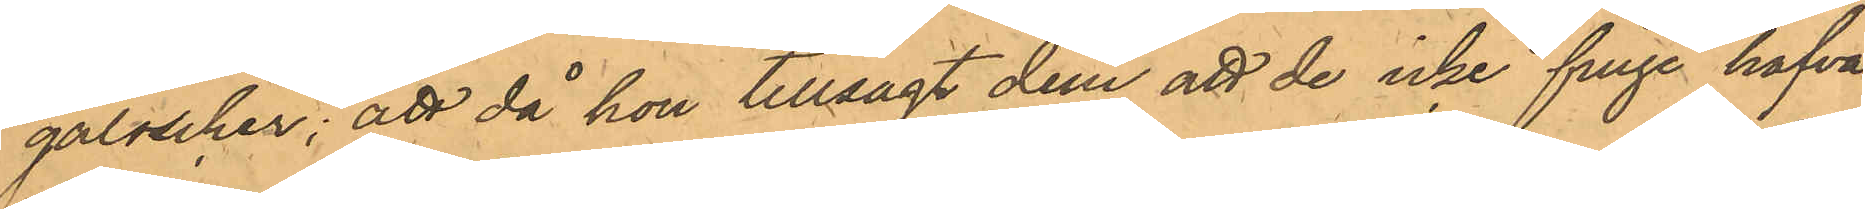galoscher; att då hon tillsagt dem, att de icke finge hafva
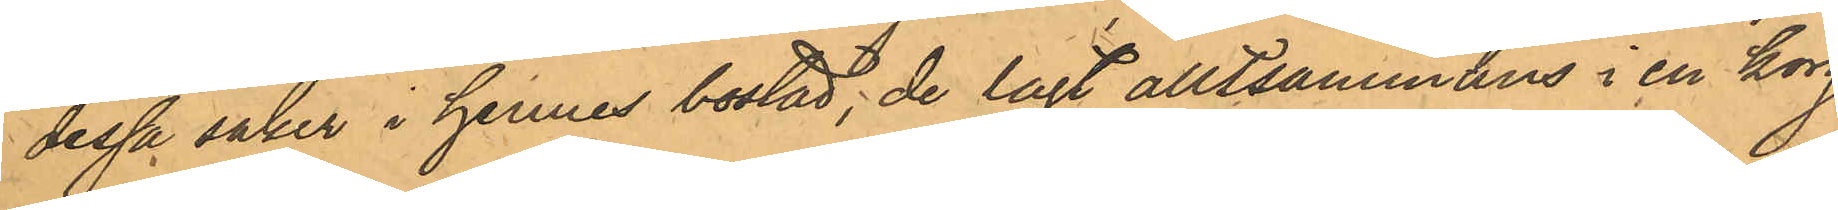dessa saker i hennes bostad, de lagt alltsammans i en korg,
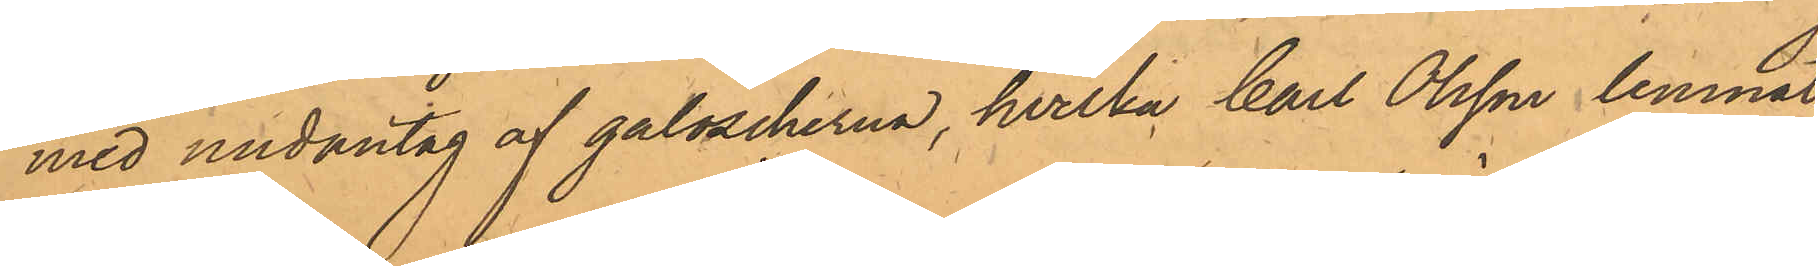med undantag af galoscherna, hvilka Carl Olsson lemnat
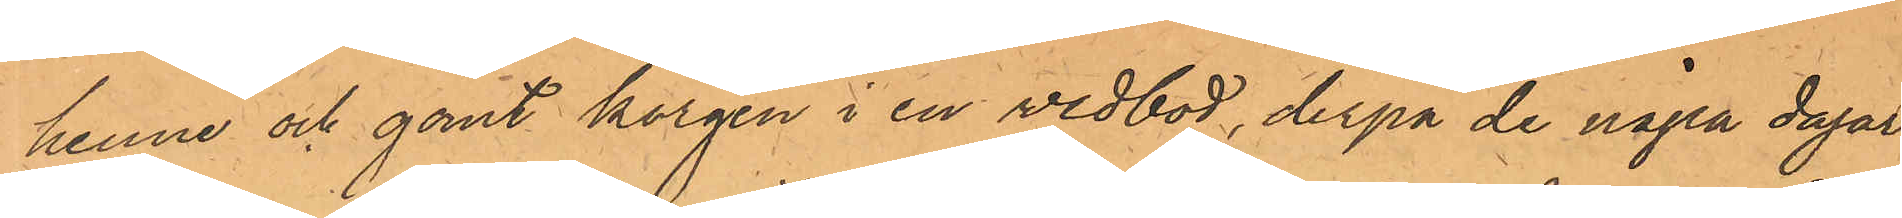henne och gömt korgen i en vedbod, derpå de några dagar
